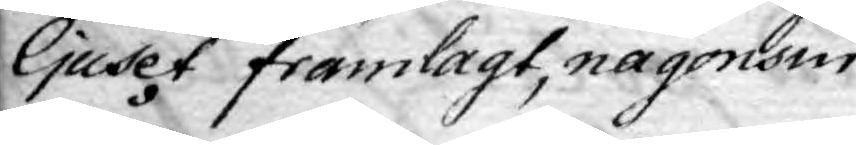ljuset framlagt, någonsin
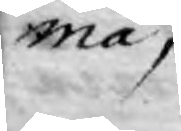må,
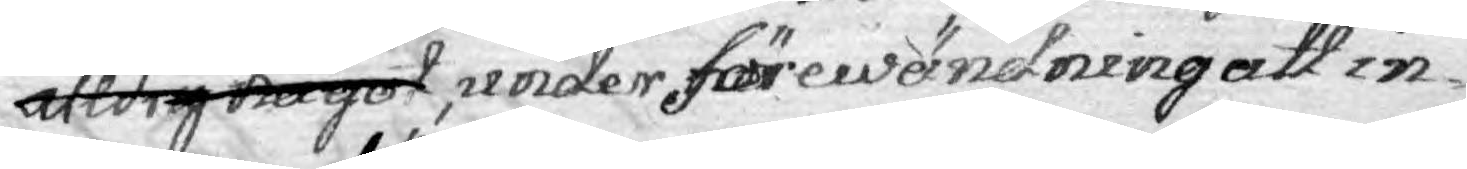aldrig något , under förewändning att in¬
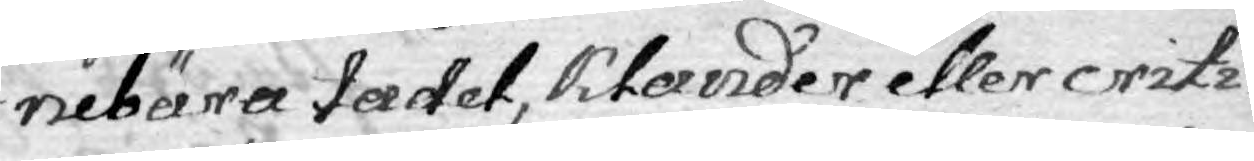nebära tadel, klander eller crit¬
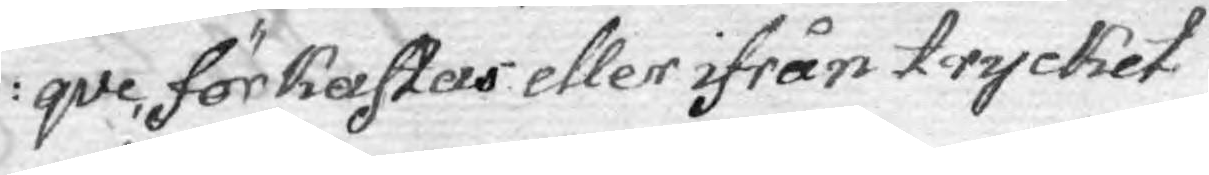qve, förkastas eller ifrån trycket
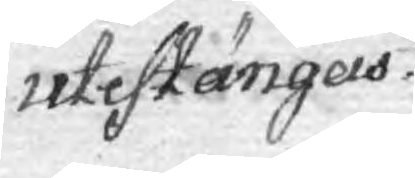utestängas.
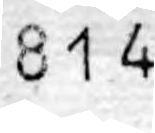814
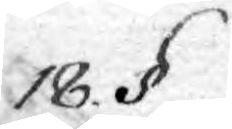18. §.
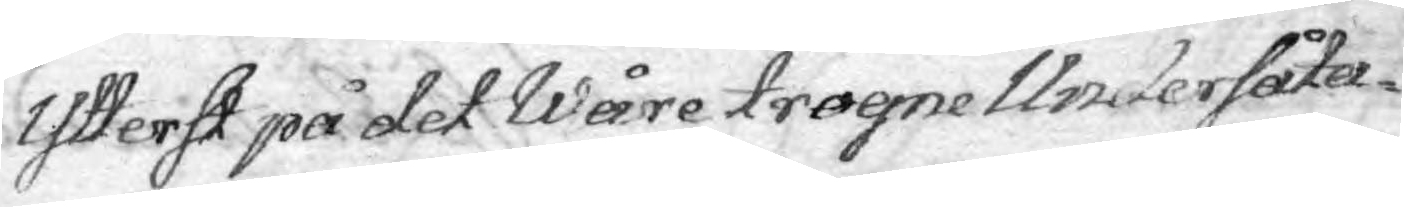Ytterst på det Wåre trogne Undersåta¬
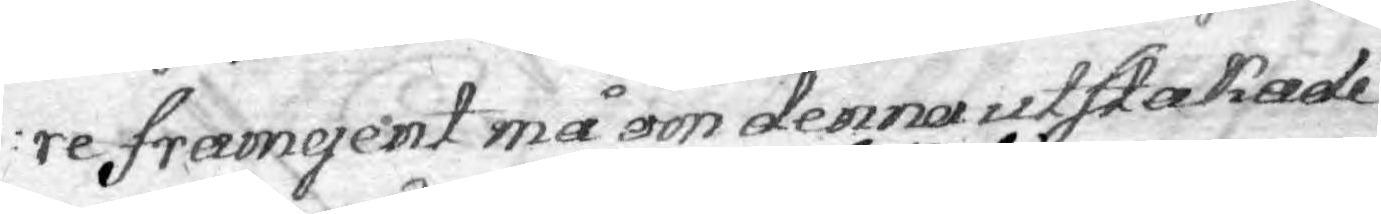re framgent må om denna utstakade
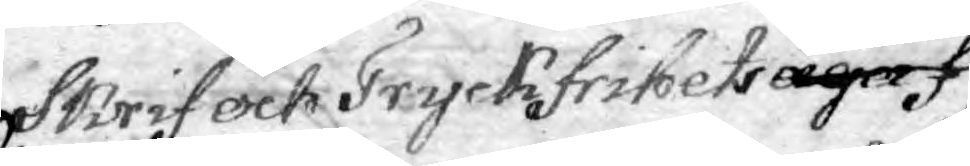Skrif och Tryckfrihets äga
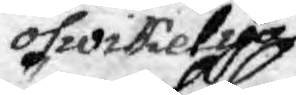oswikelige
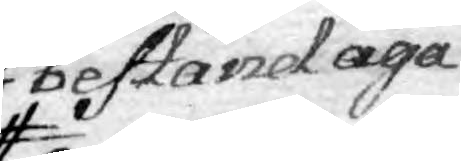bestånd äga
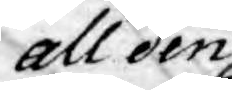all den
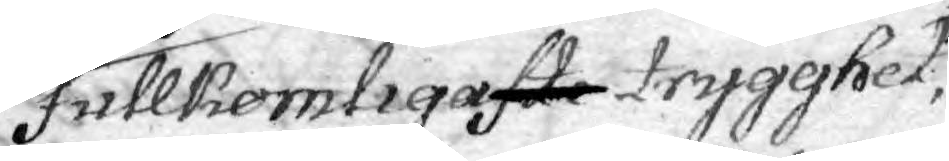Fullkomligaste trygghet,
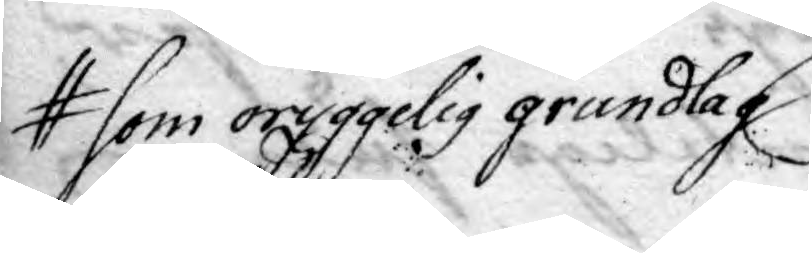som oryggelig grundlag
